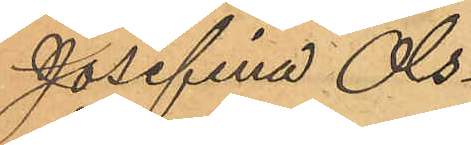Josefina Ols¬
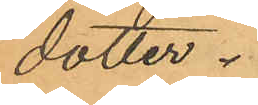dotter.
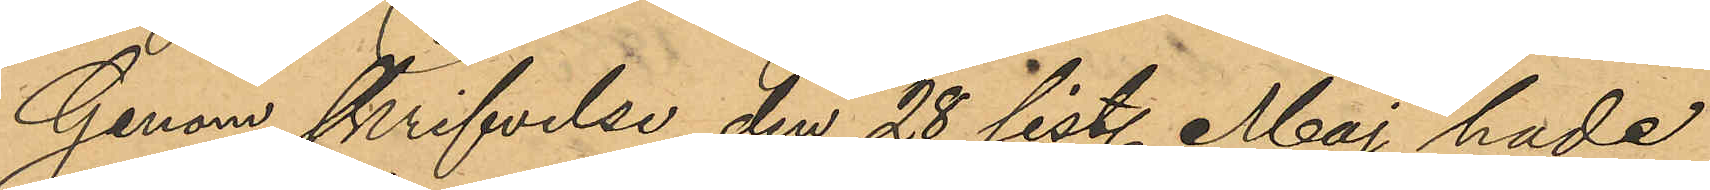Genom skrifvelse den 28 sist. Maj hade
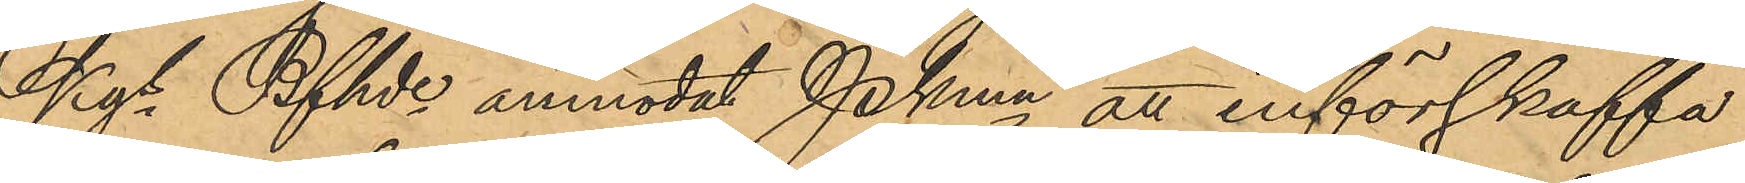Kgs Bfhde anmodat Pkmn att införskaffa
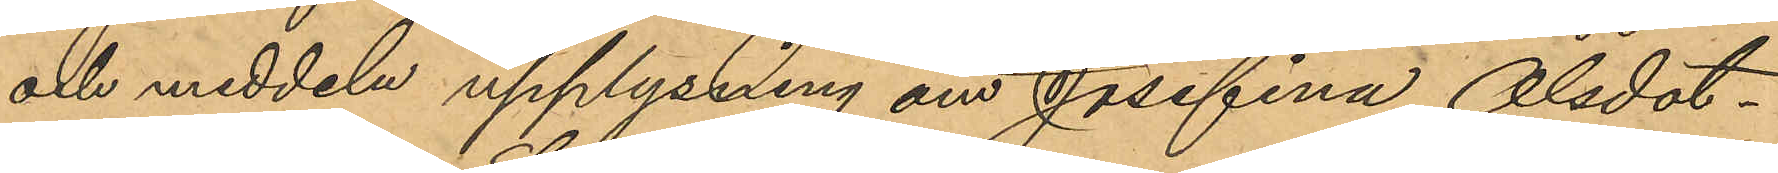och meddela upplysning om Josefina Olsdot¬
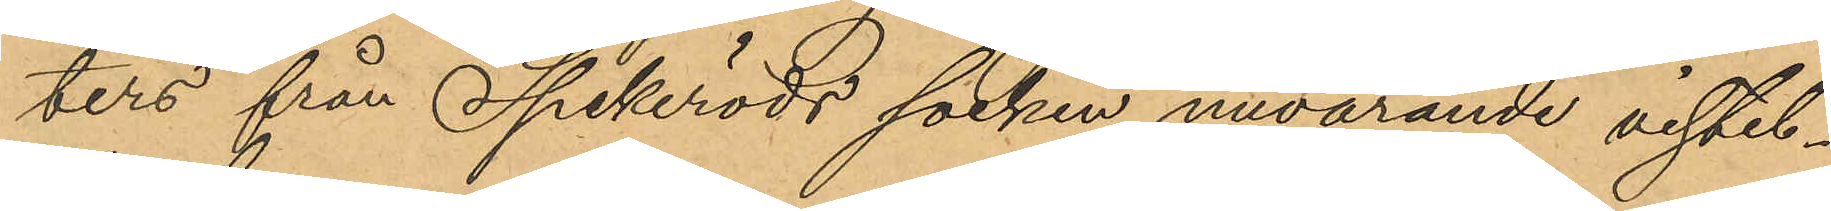ters från Spekeröds socken nuvarande vistel¬
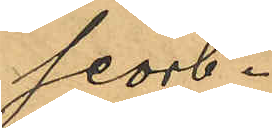seort.
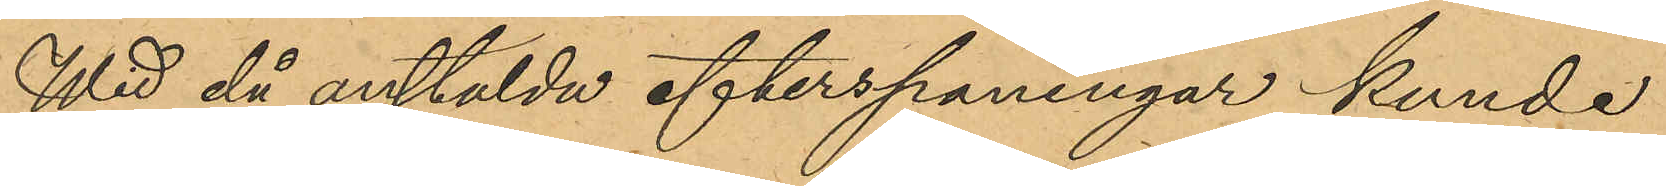Wid då anstälda efterspaningar kunde
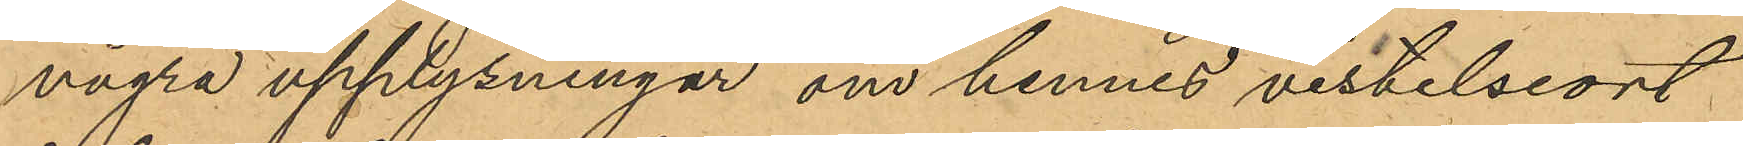några upplysningar om hennes vistelseort
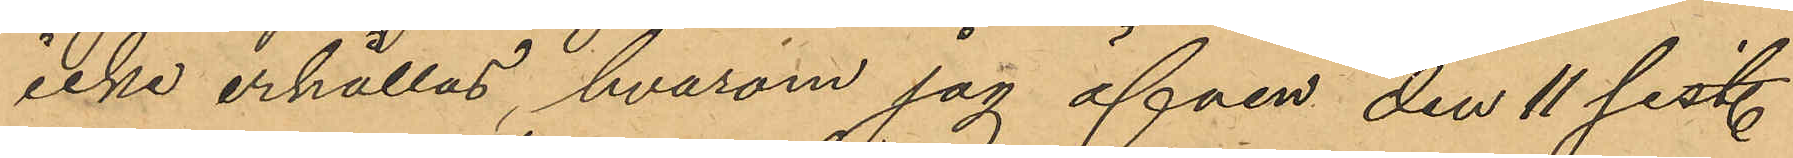icke erhållas, hvarom jag äfven den 11 sistl.
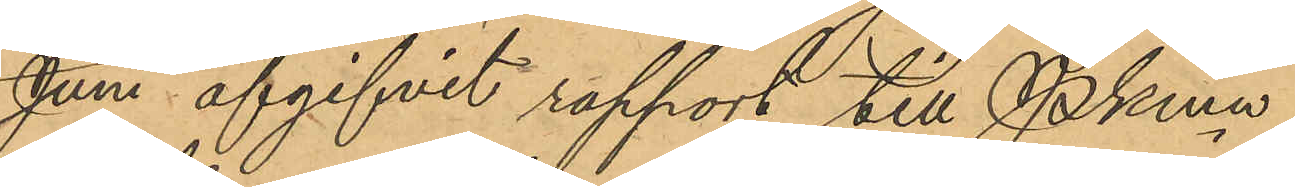Juni afgifvit rapport till PKmn
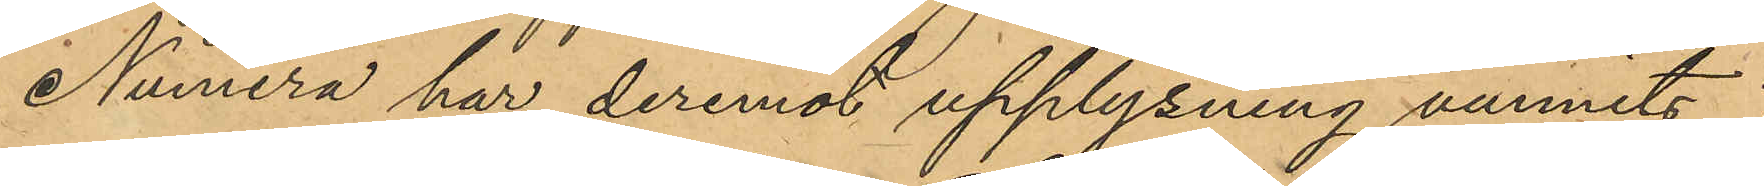Numera har deremot upplysning vunnits
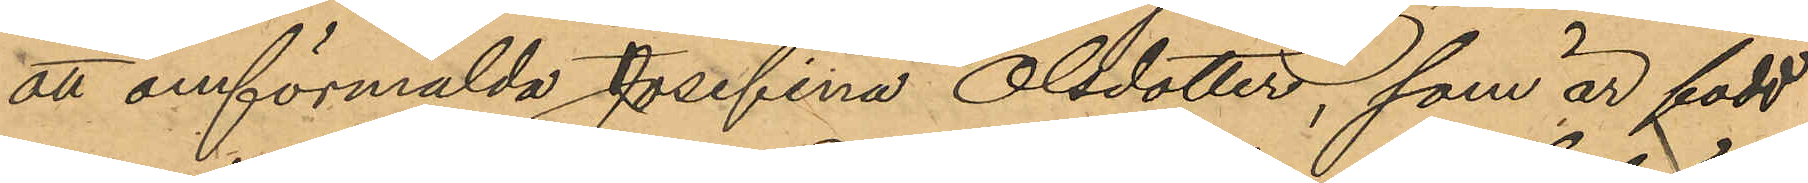att omförmälda Josefina Olsdotter, som är född
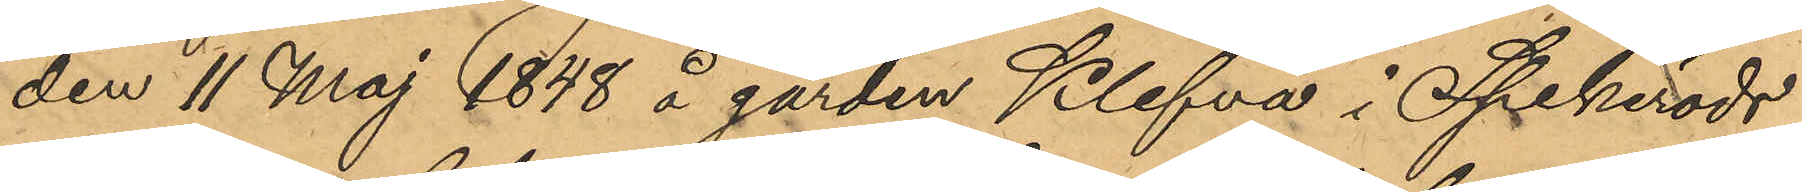den 11 Maj 1848 å gården Klefva i Spekeröds
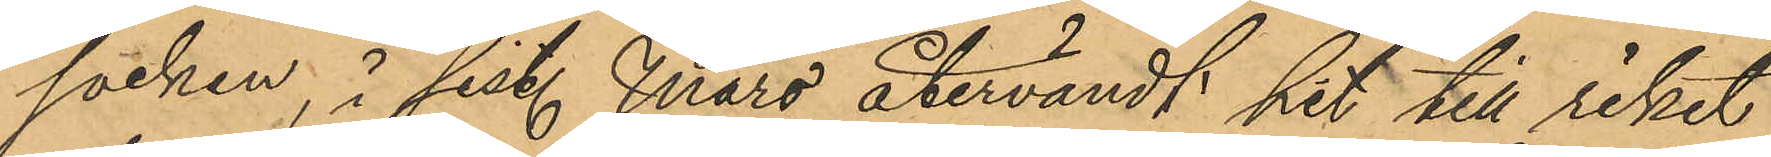socken, i sist. Mars återvändt hit till riket
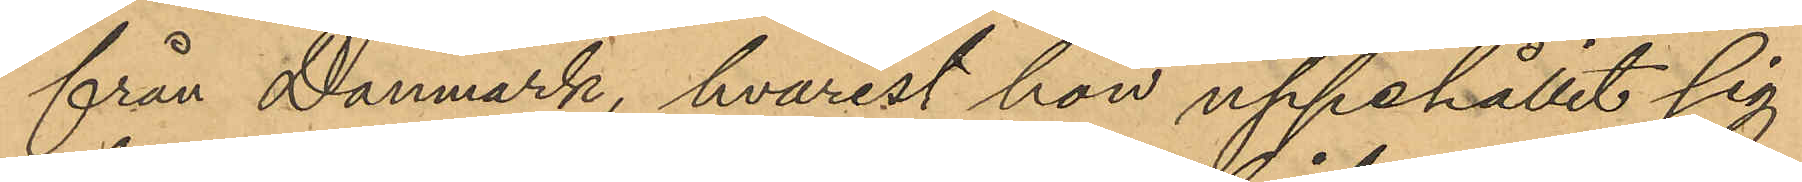från Danmark, hvarest hon uppehållit sig
